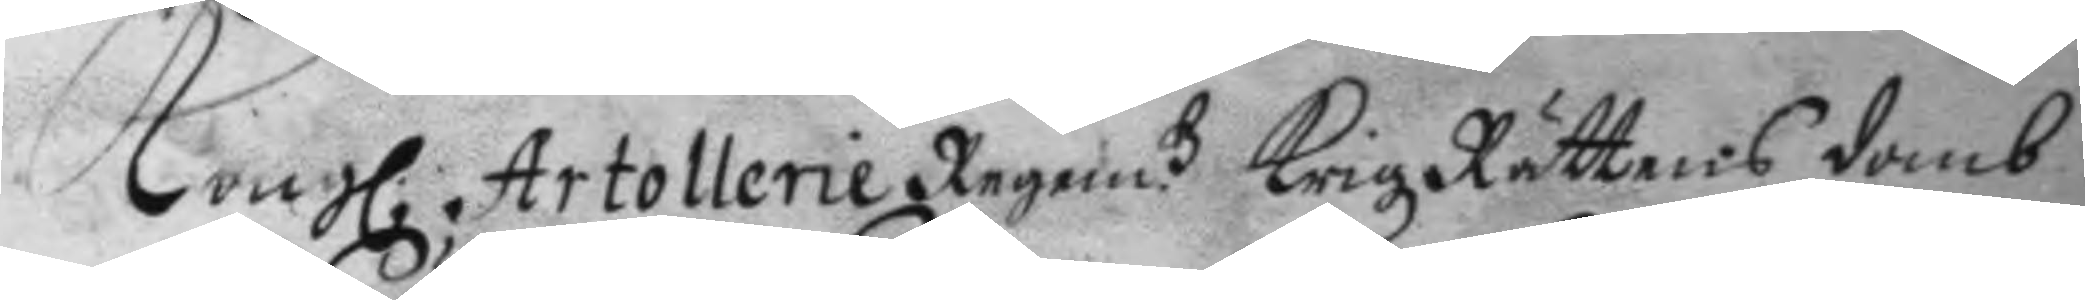Kong. Artollerie Regem.ts KrigzRättens domb
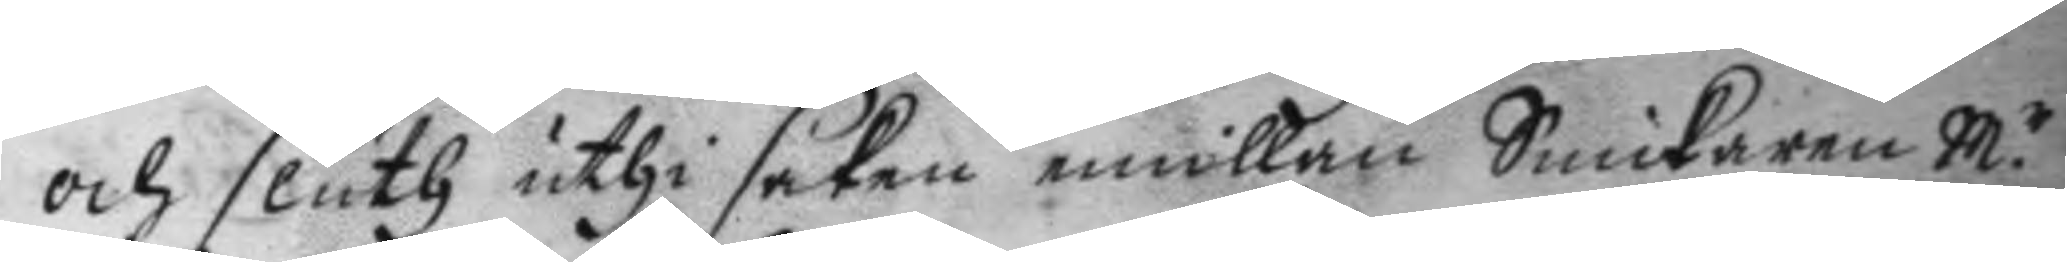och sluth uthi saken emillan Snickaren M.r
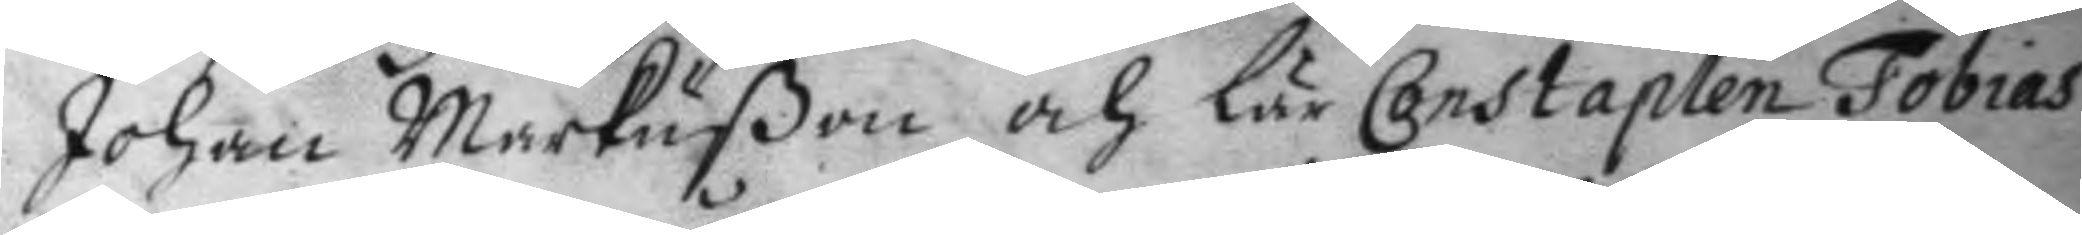Johan Markußon och lär Constaplen Tobias
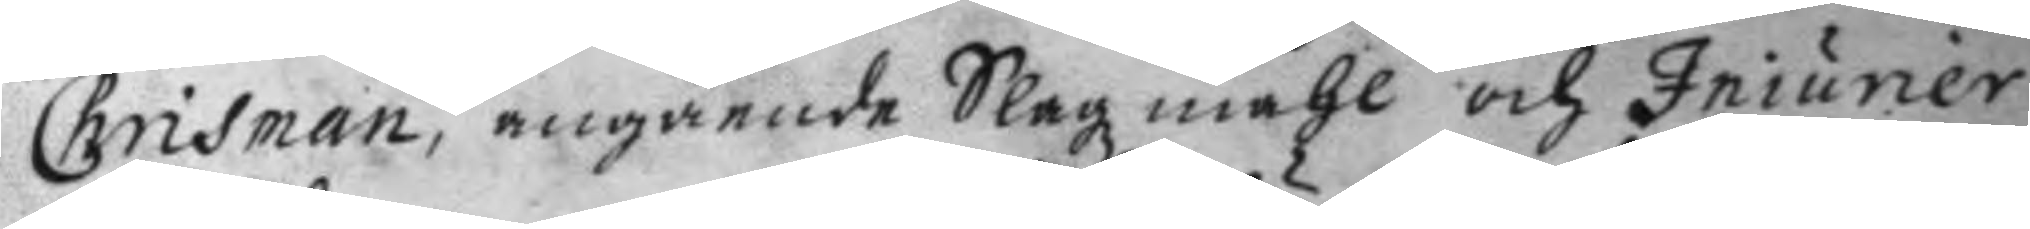Chrisman, angående Slagzmåhl och Iniurier
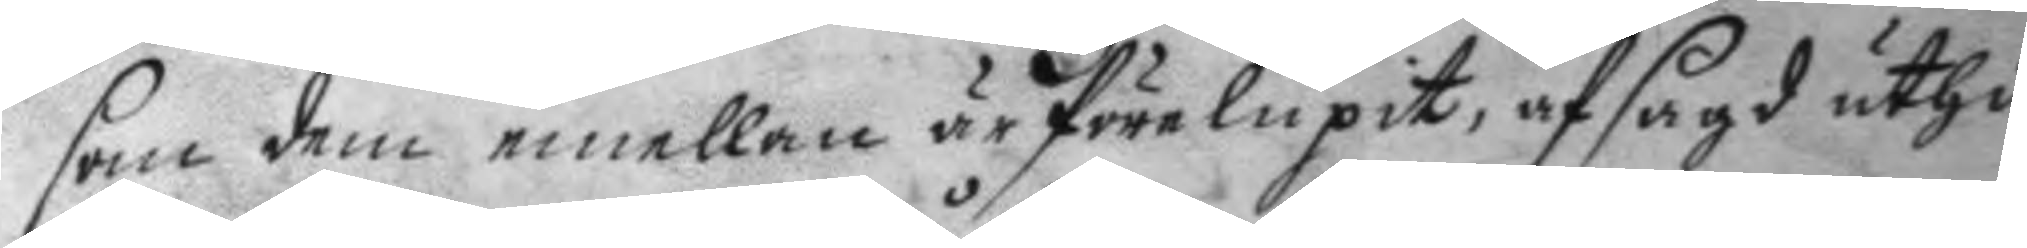som dem emellan är förelupit, afsagd uthi
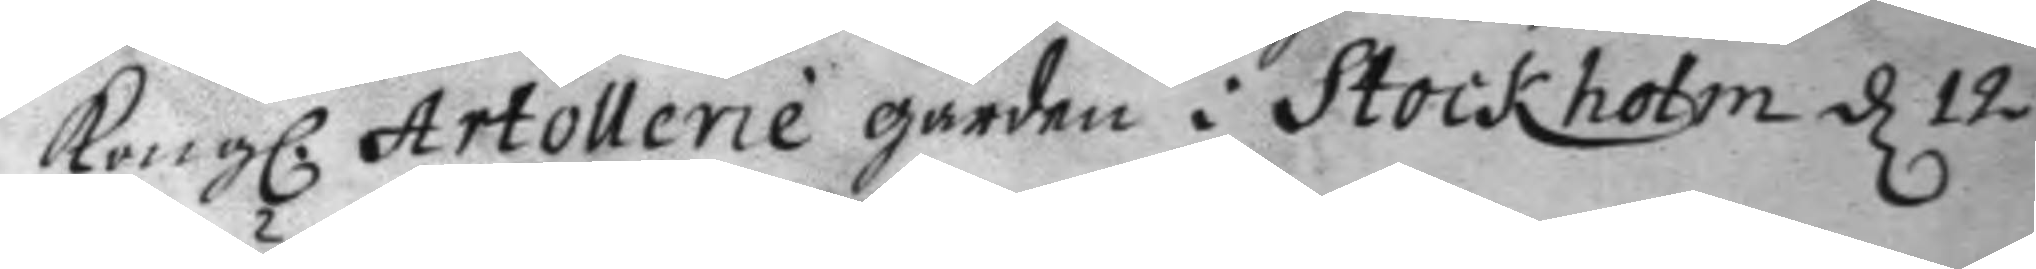Kong. Artollerie gården i Stockholm d 12
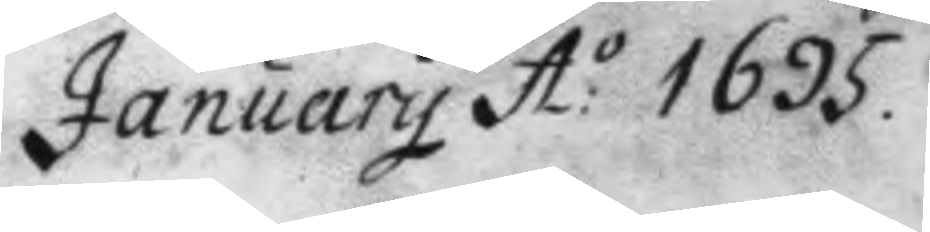January A:o 1695.
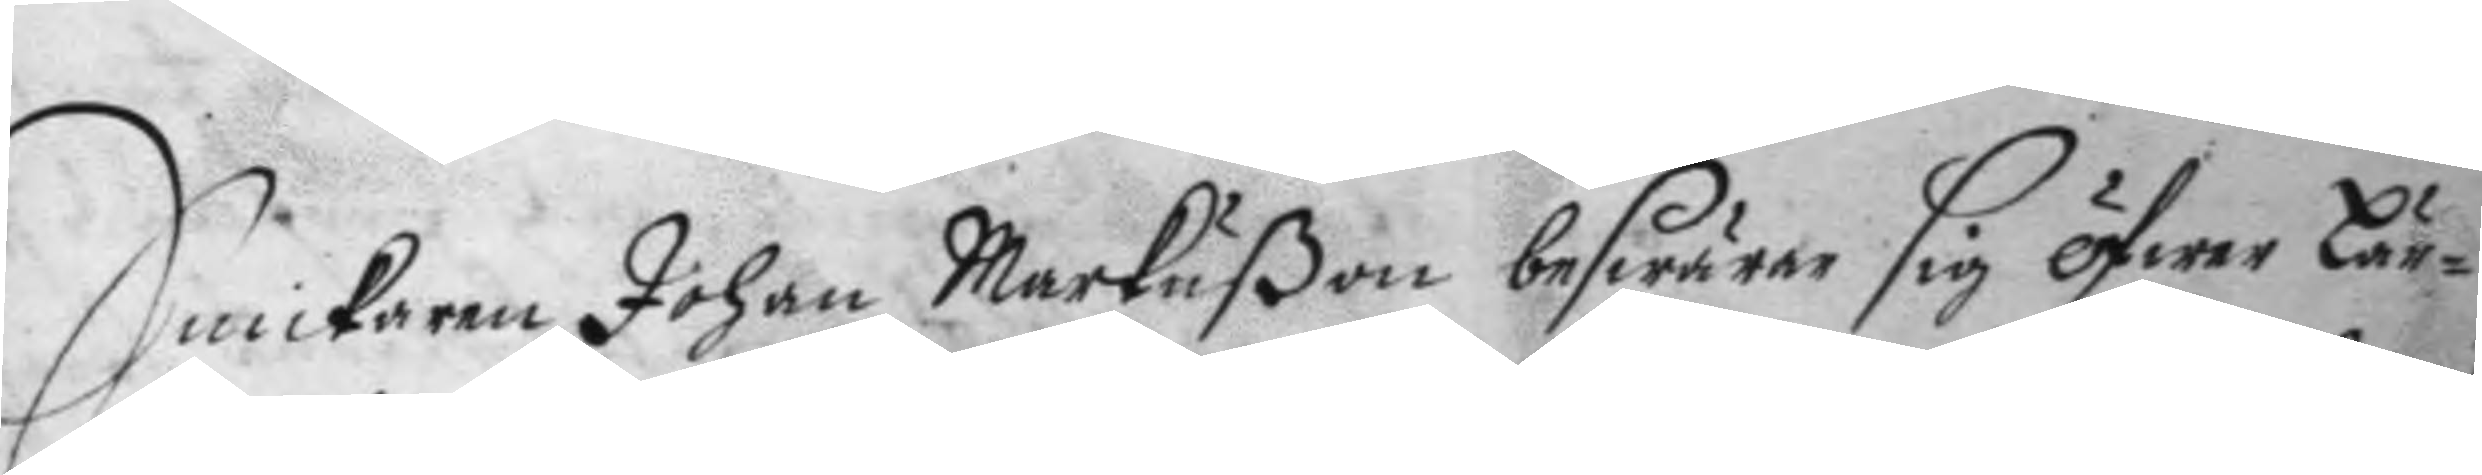Snickaren Johan Markußon beswärar sig öfwer Lär¬
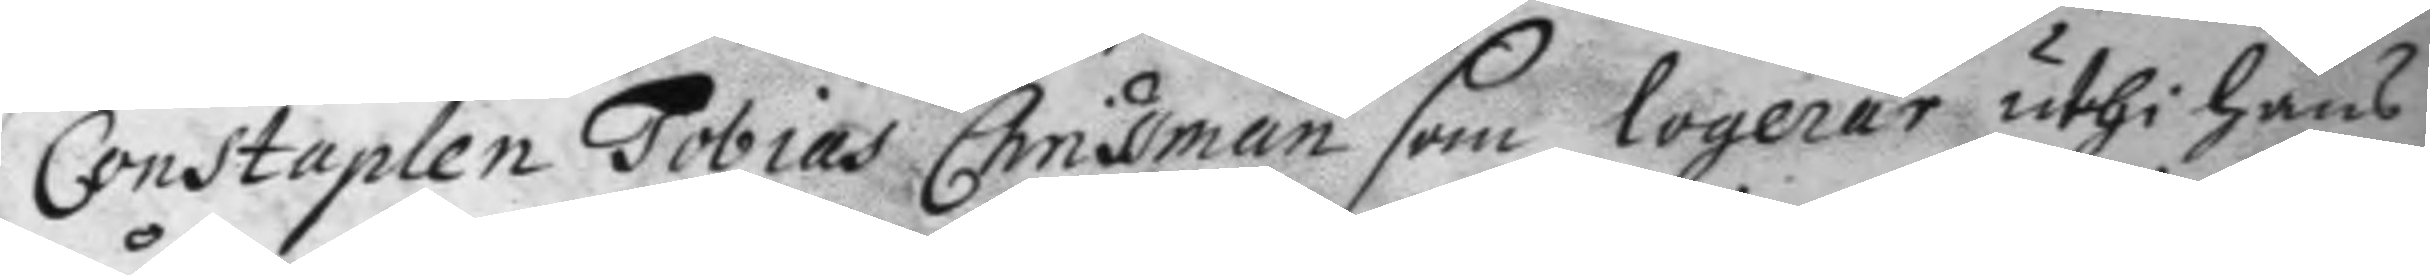Constaplen Tobias Chrissman som logerar uthi hans
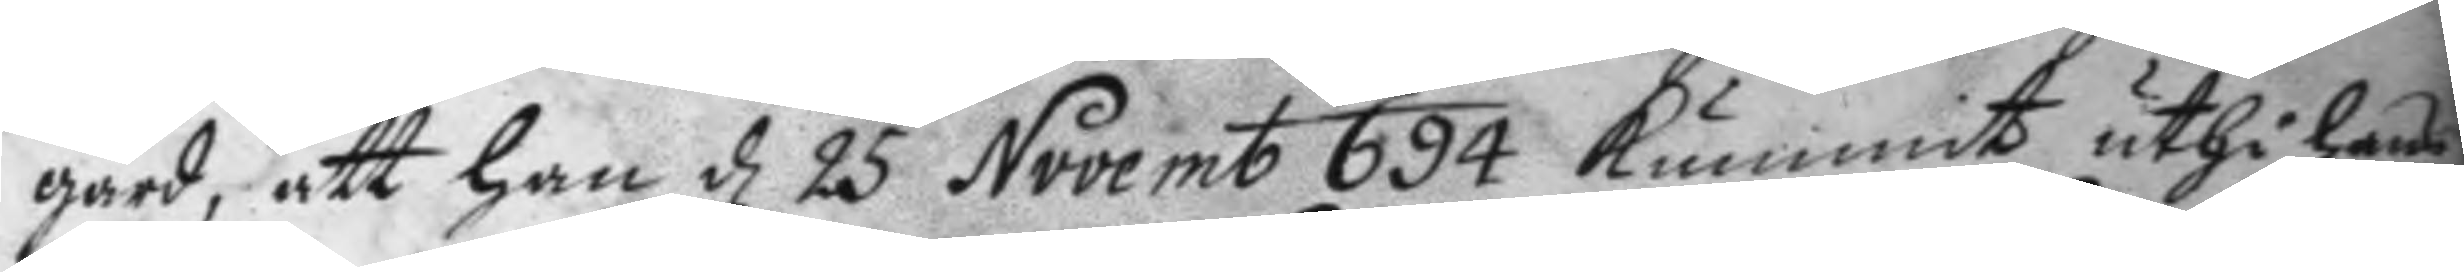gård, att han d 25 Novemb 694 kummit uthi hans
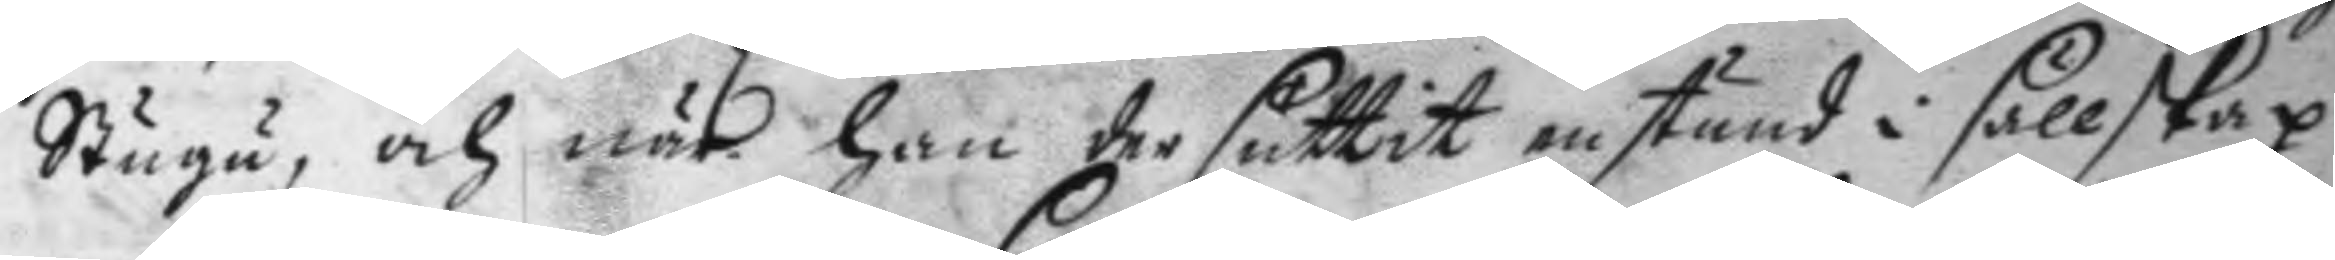Stugu, och när han der suttit en stund i sällskap
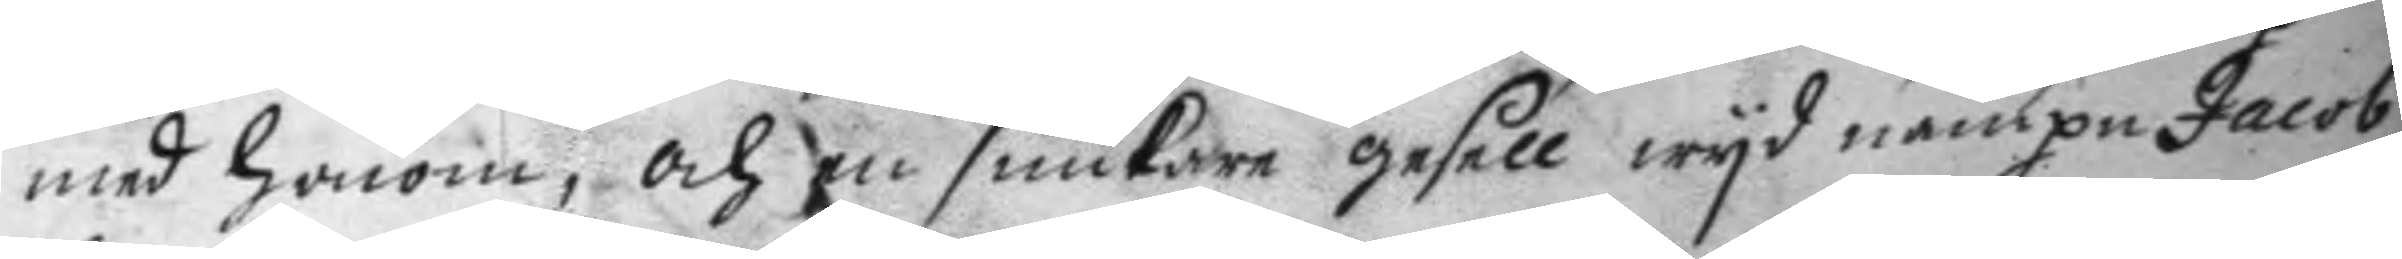med honom, och en snickare gesell wyd nampn Jacob
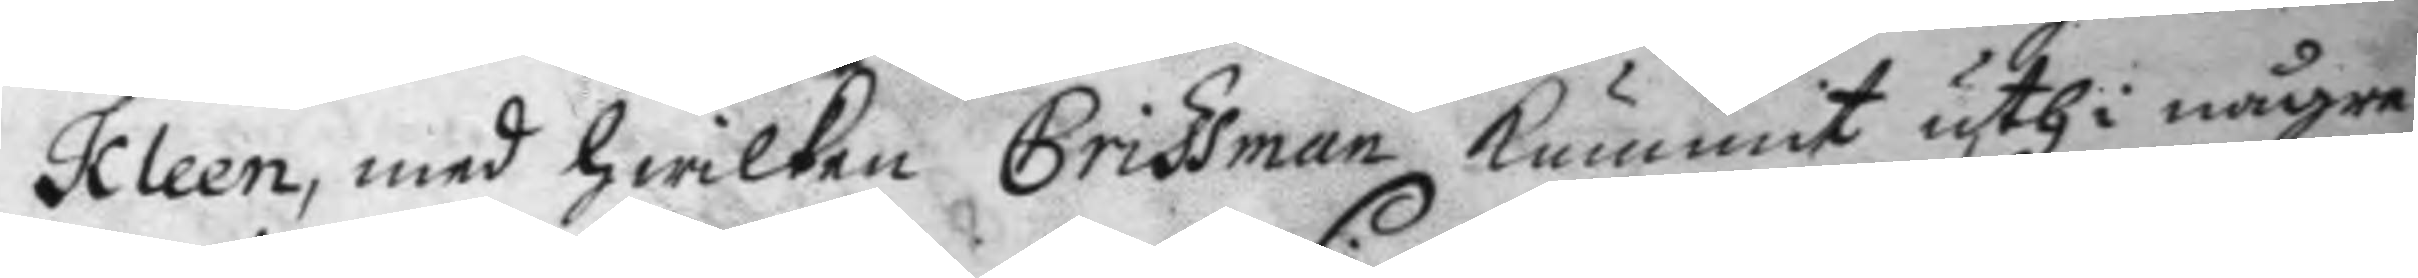Kleen, med hwilken Crissman kummit uthi någre
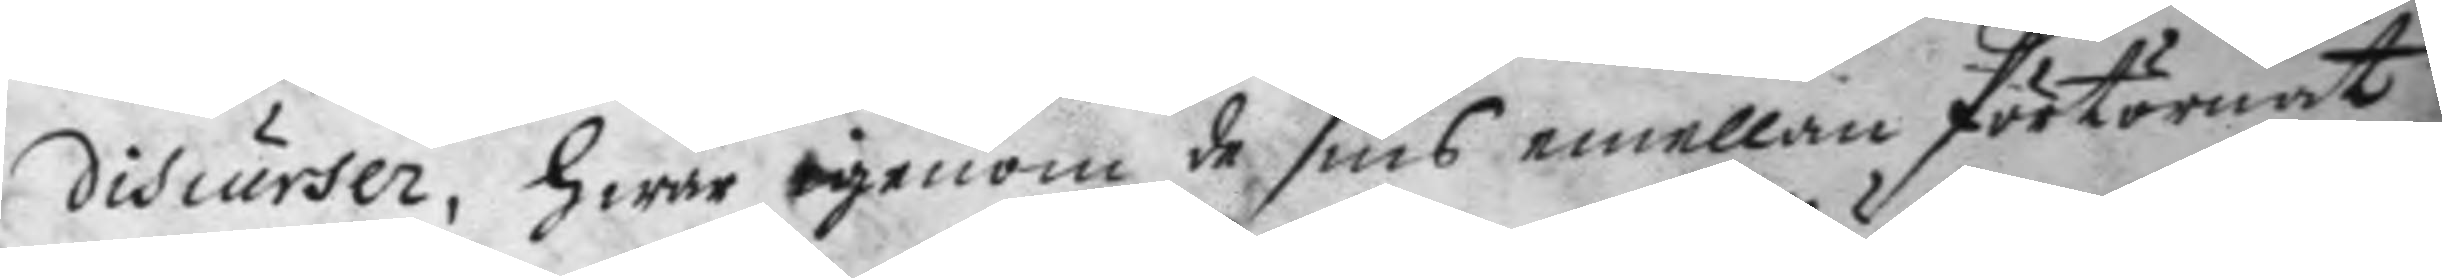discurser, hwar igenom de sins emellan förtörnat
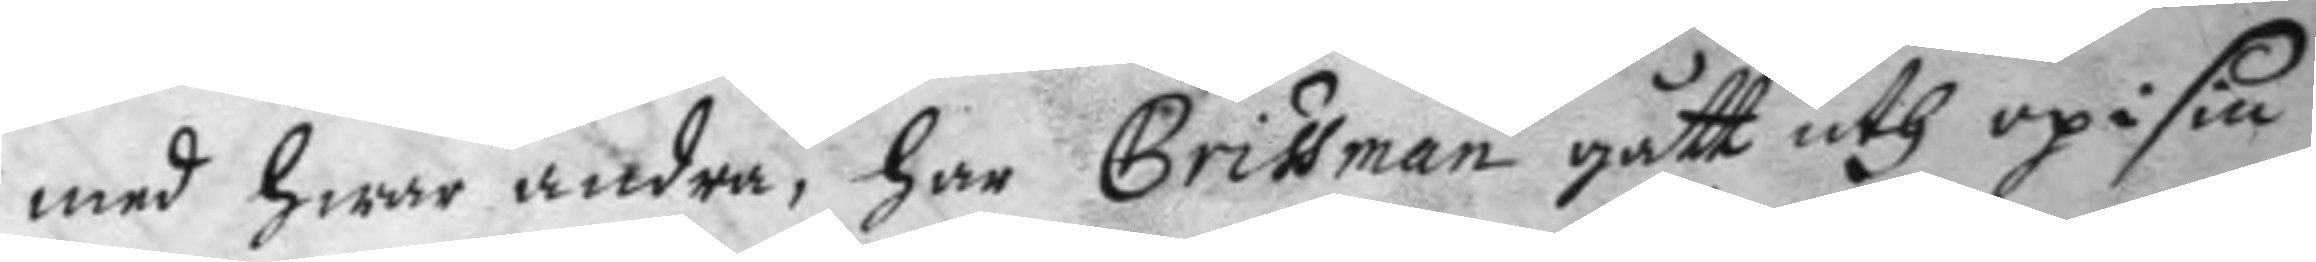med hwar andra, har Crissman gått uth op i sin
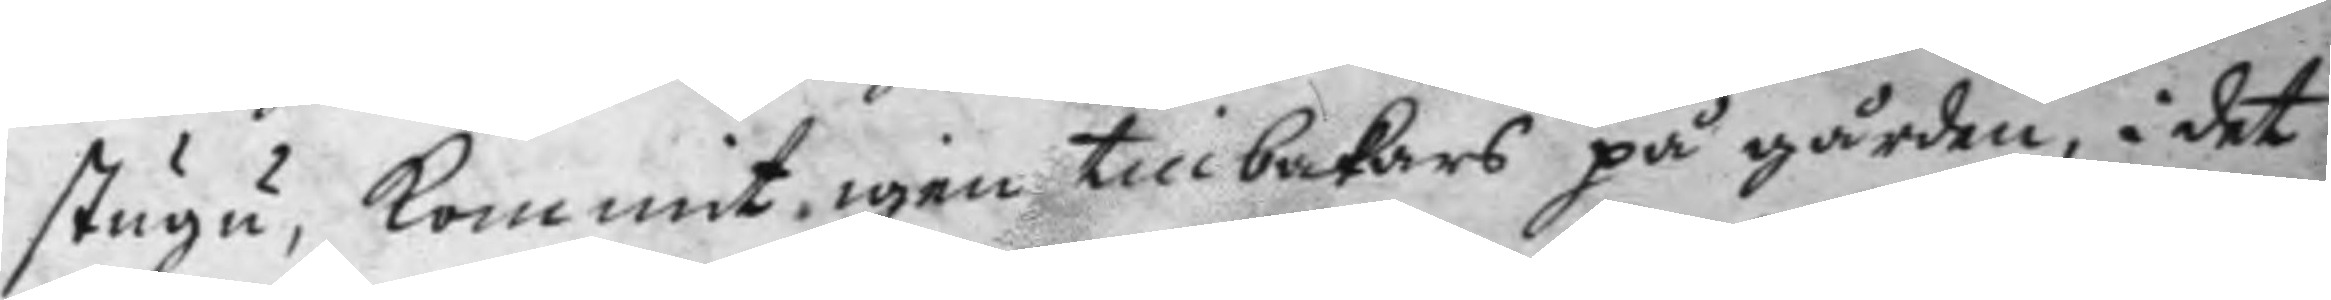stugu, kommit igen tillbakars på gården, i det
